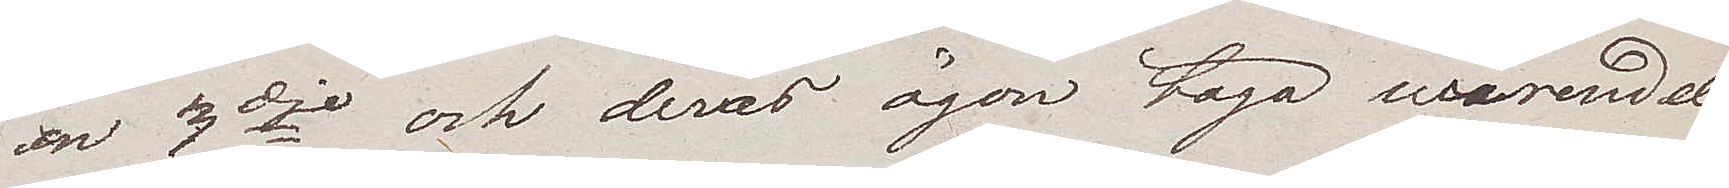en 3dje och deras ögon taga merendels
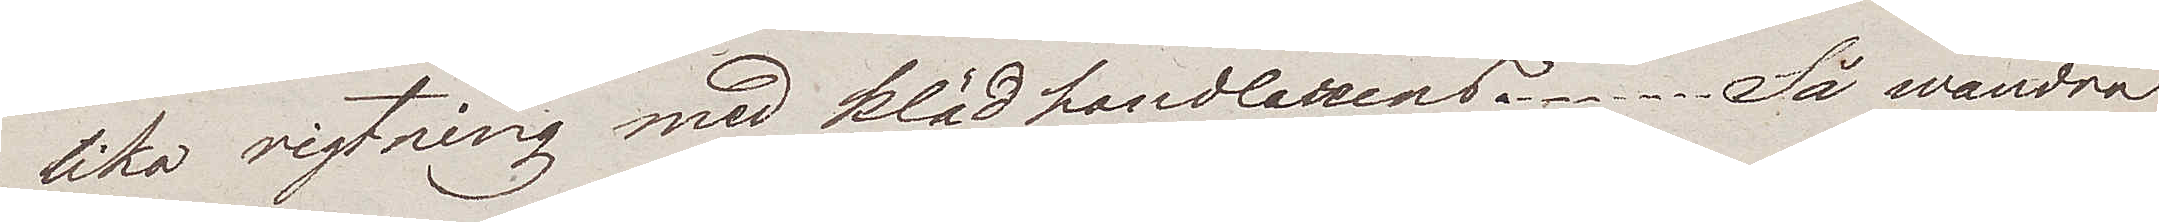lika rigtning med klädhandlarens. Så wandra
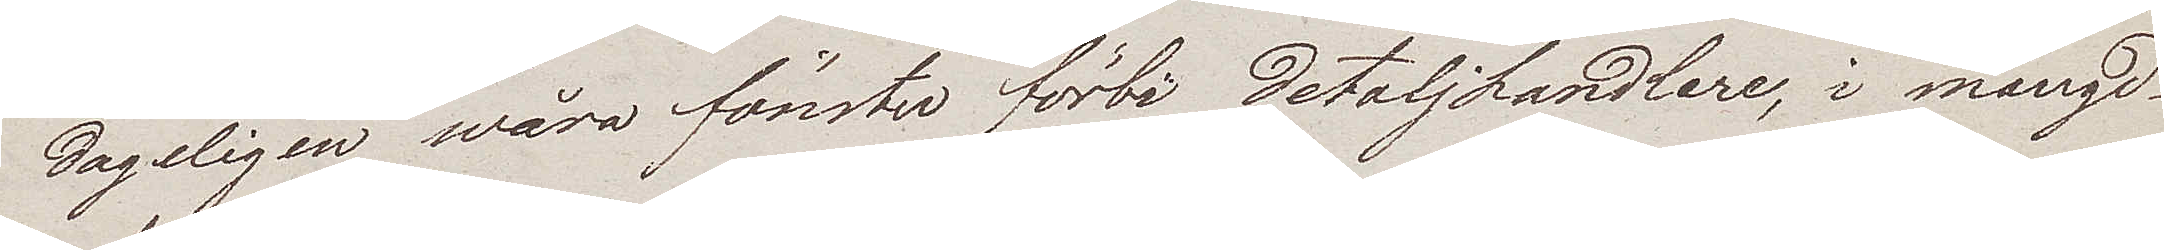dageligen wåra fönster förbi detaljhandlare, i mängd
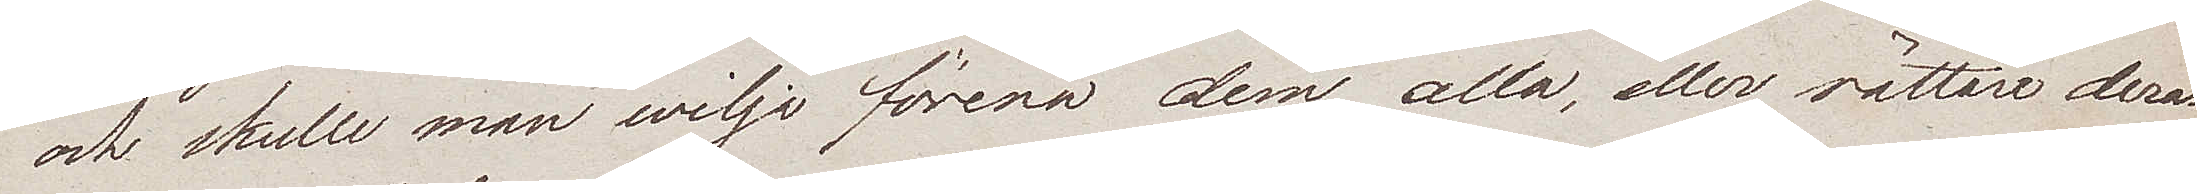och skulle man wilja förena dem alla, eller rättare deras
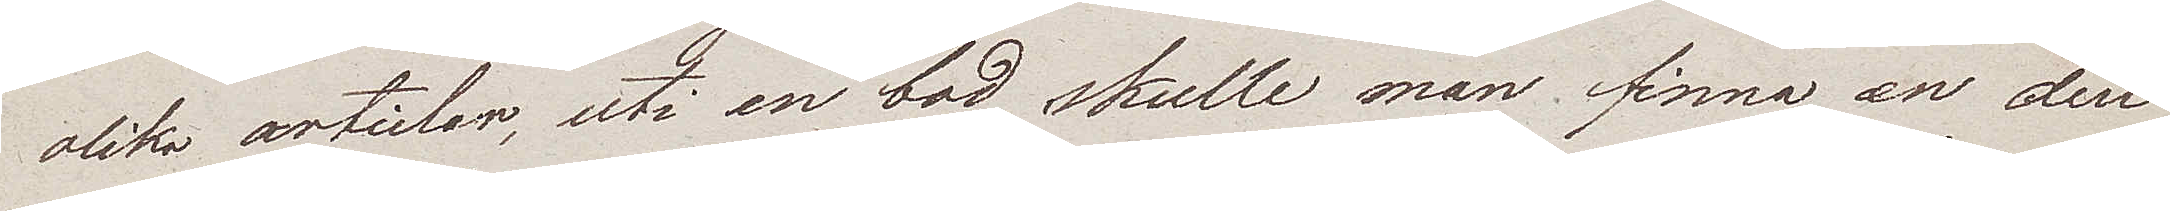olika articlar, uti en bod skulle man finna en den
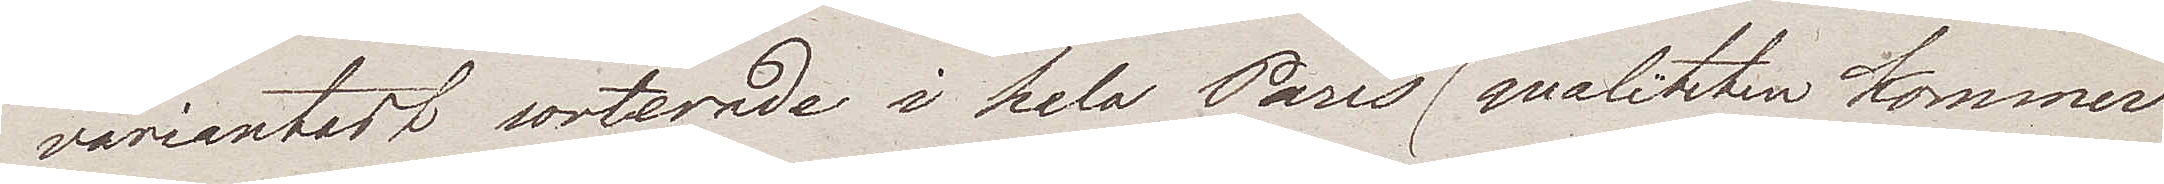variantast sorterade i hela Paris (qualiteten kommer
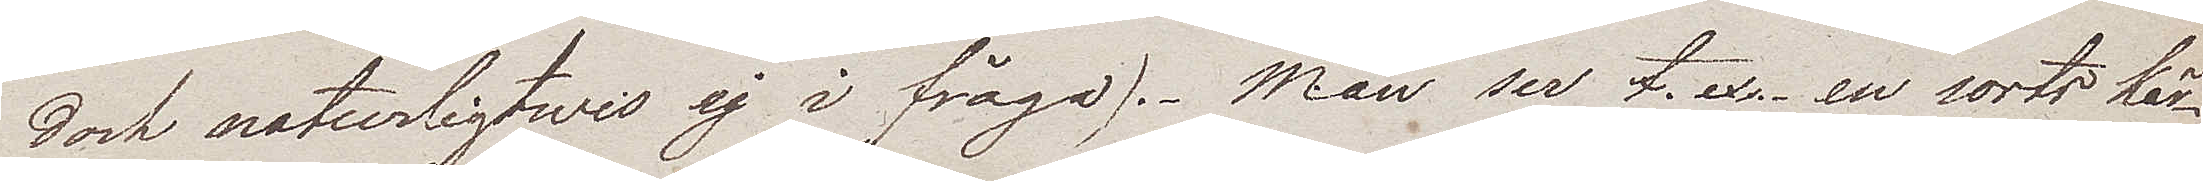dock naturligtwis ej i fråga). Man ser t. ex. en sorts kär¬
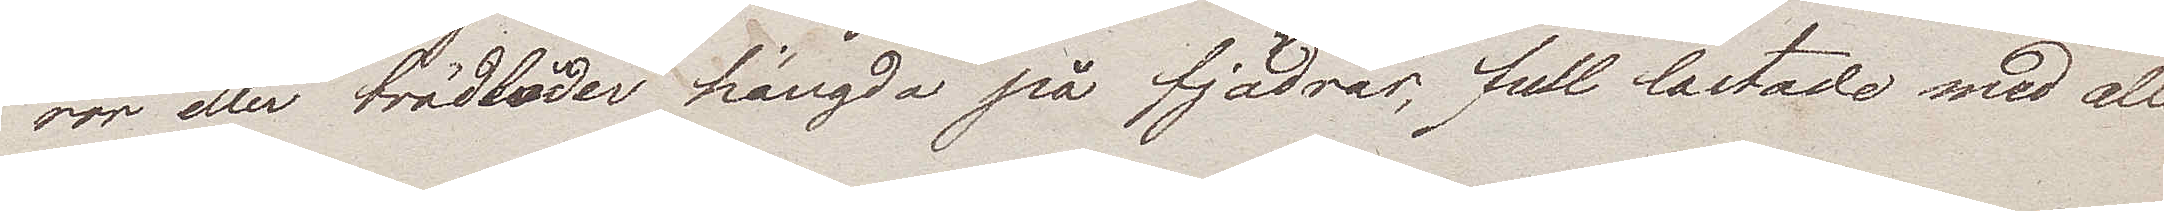ror eller trädlåder hängda på fjädrar; full lastade med alle¬
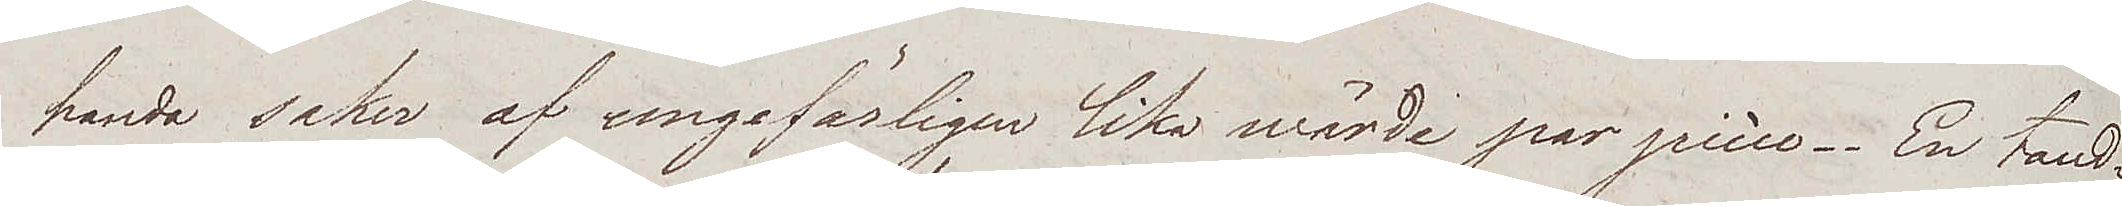handa saker af ungefärligen lika wärde par pièce. En tand¬
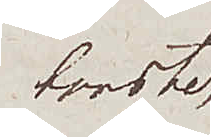borste,
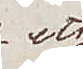ett
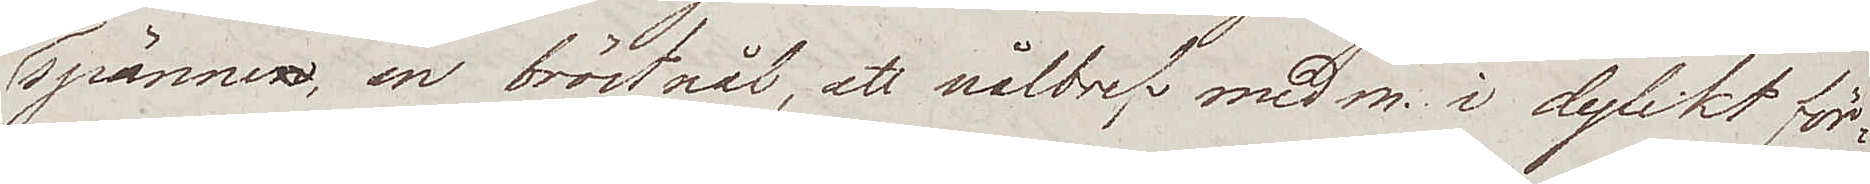spännen, en bröstnål, ett nålbref med m. i dylikt för¬
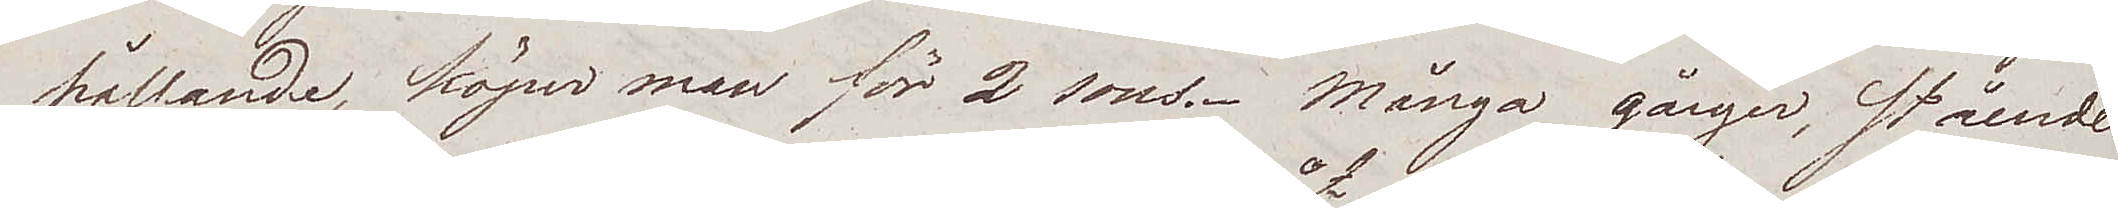hållande, köper man för 2 sous. Många gånger, stående
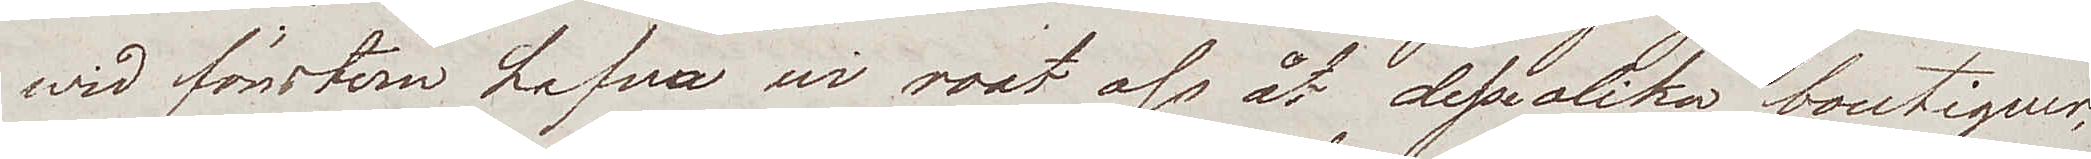wid fönstern hafva wi roat oss åt desse olika boutiquer,
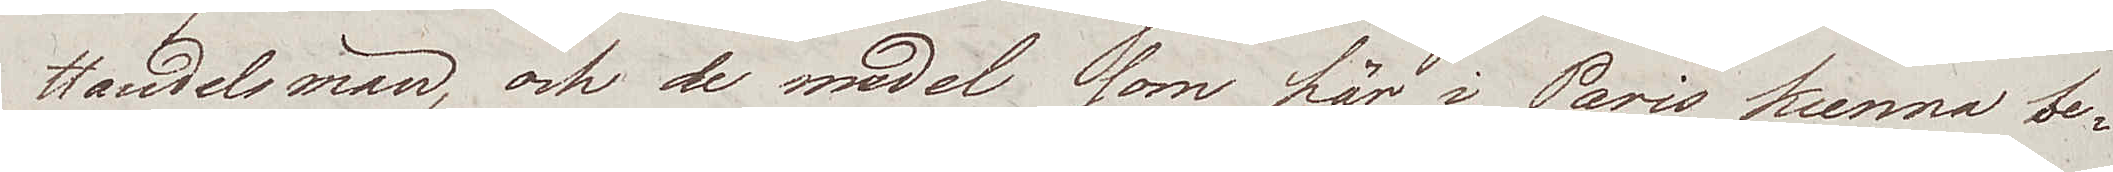Handelsmän, och de medel som här i Paris kunna be¬
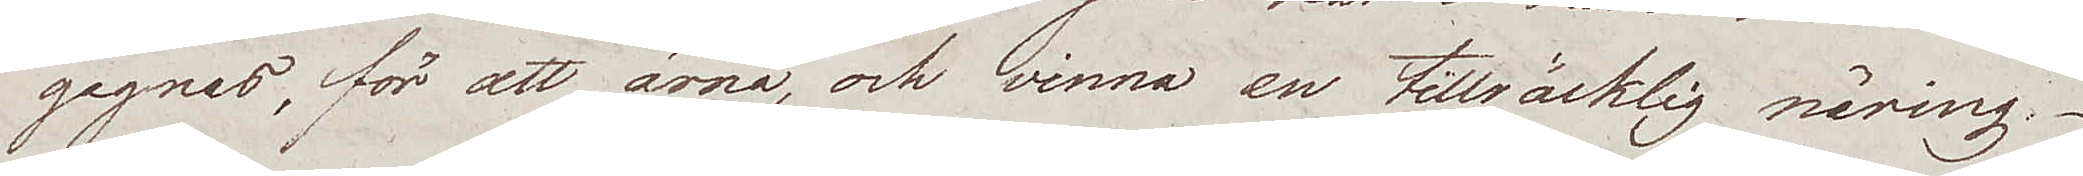gagnas, för att ärnå, och vinna en tillräcklig näring.
